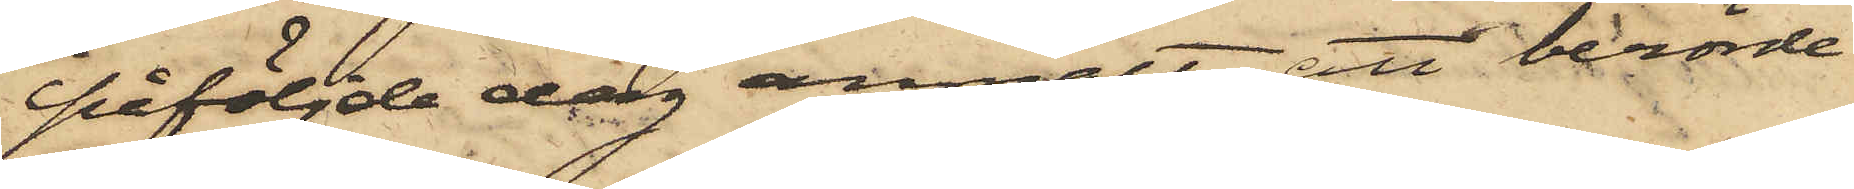påföljde dag anmält, att berörde
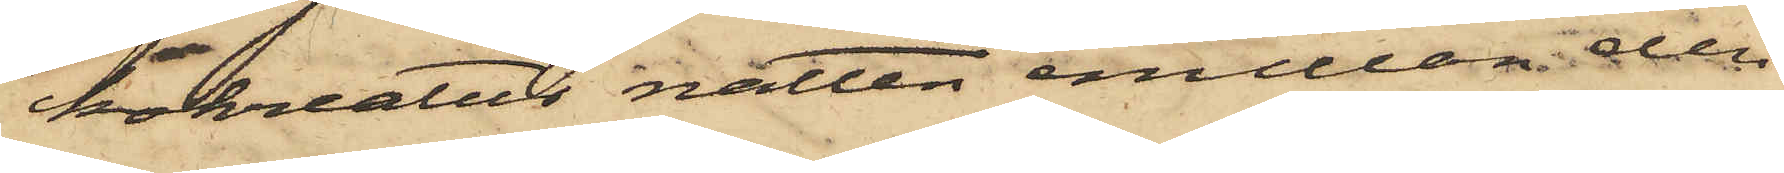kokreatur natten emellan den
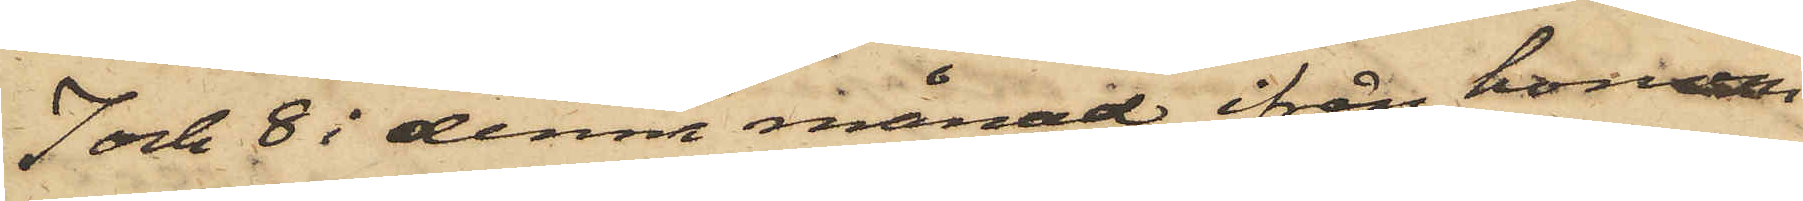7 och 8 i denna månad ifrån honom
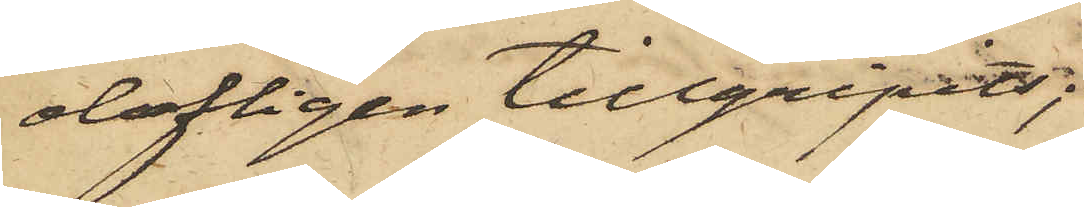olofligen tillgripits;
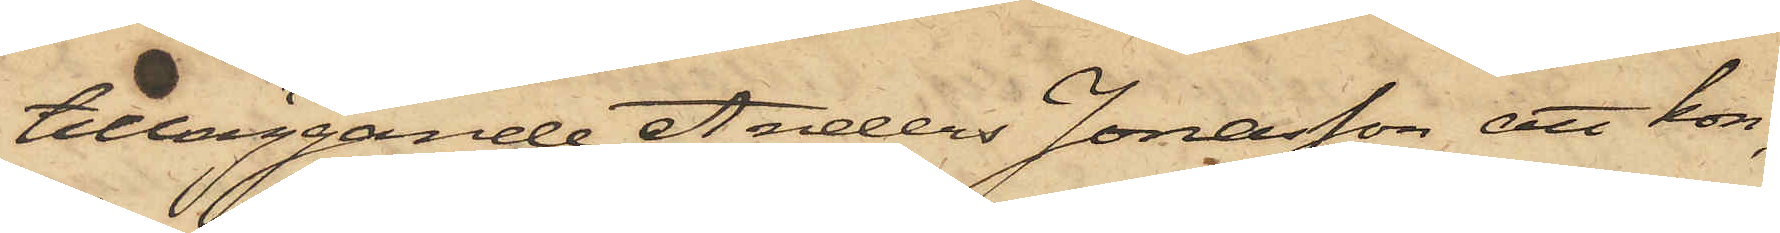tilläggande Anders Jonasson att kon,
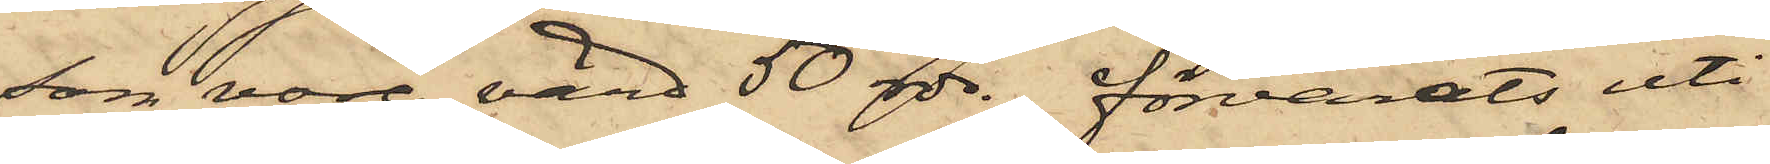som vore värd 50 rdr., förvarats uti
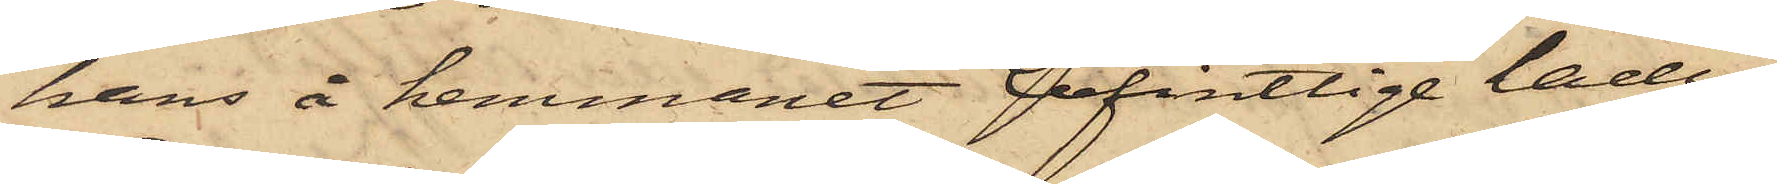hans å hemmanet befintliga ladu¬
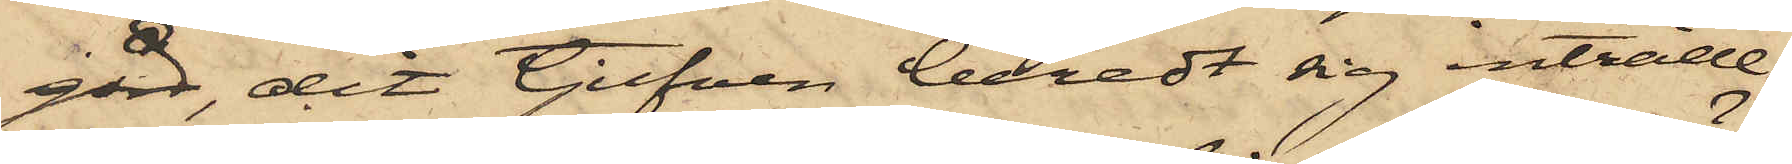gård, dit tjufven beredt sig inträde
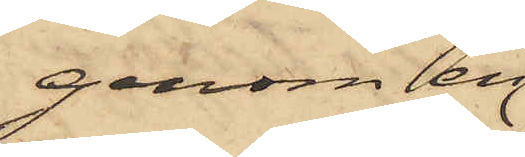genom en
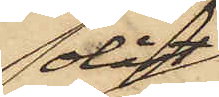olåst
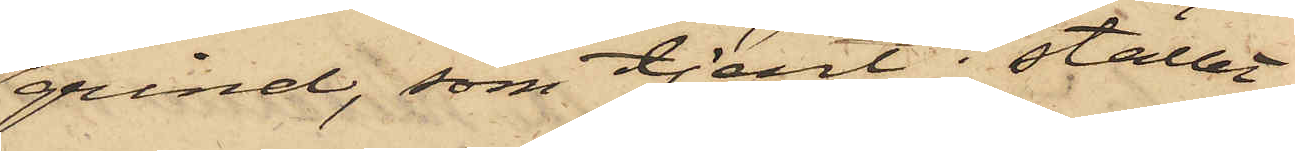grind, som tjent i stället
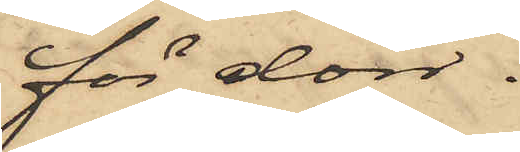för dörr.
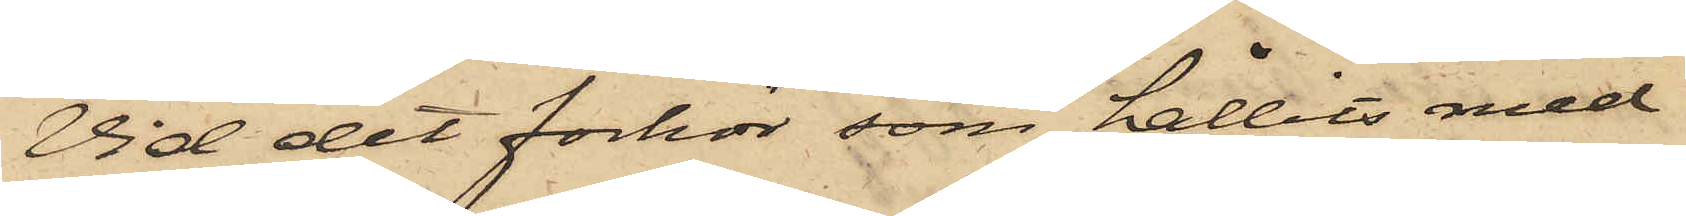Vid det förhör som hållits med
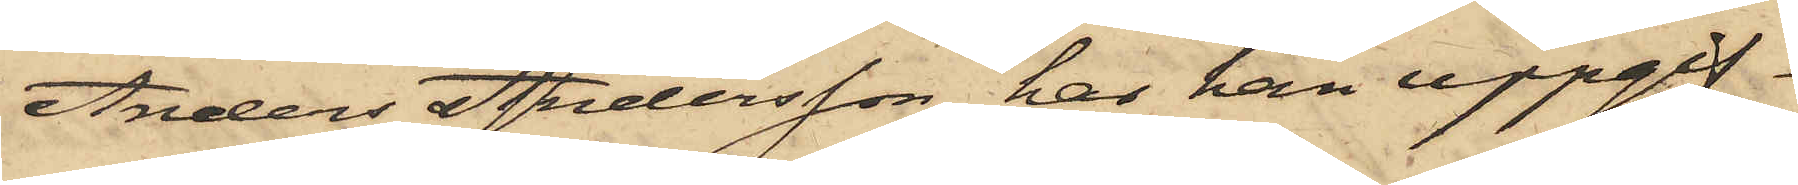Anders Andersson har han uppgif¬
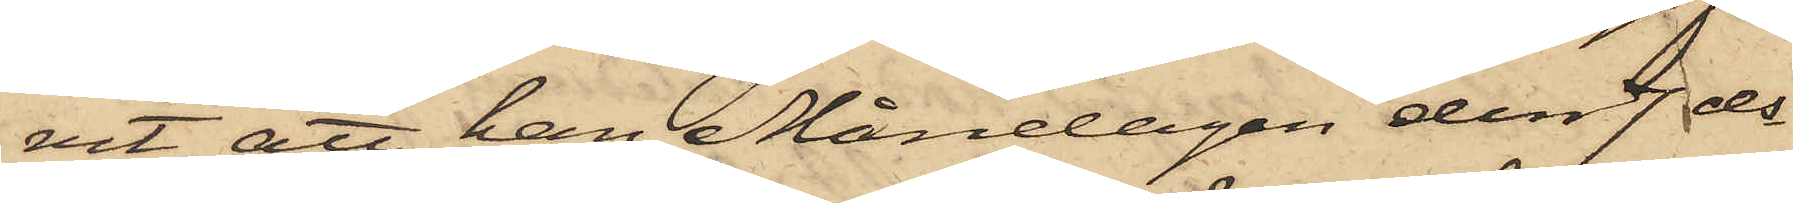vit att han Måndagen den 7 ds
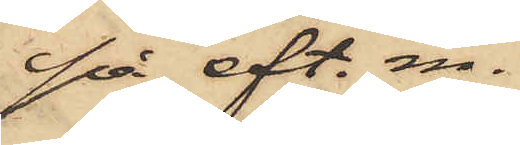på eft. m.
